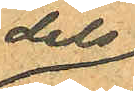dels
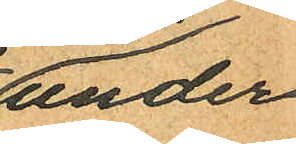under
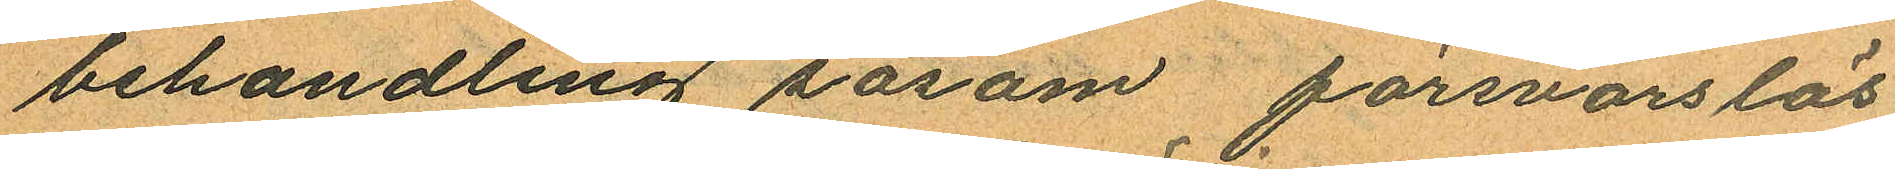behandling såsom försvarslös
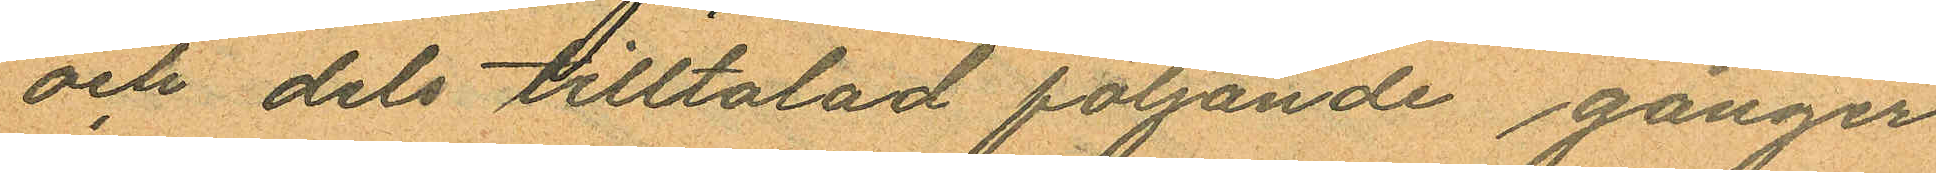och dels tilltalad följande gånger
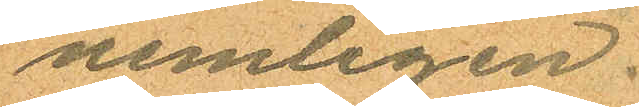nemligen:
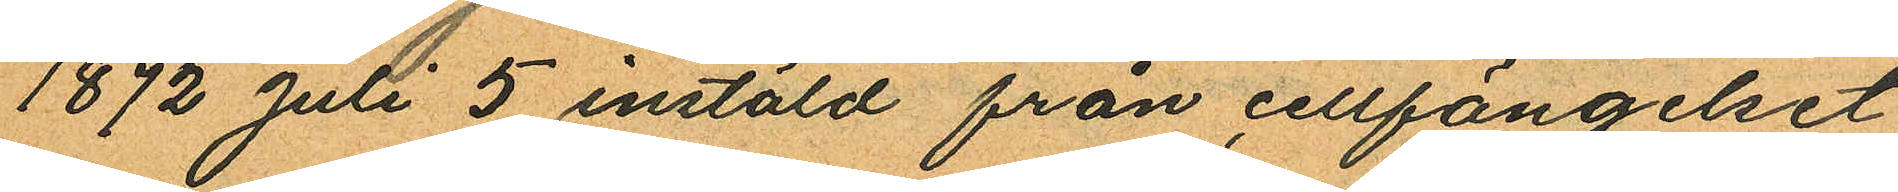1872 Juli 5 instäld från cellfängelset
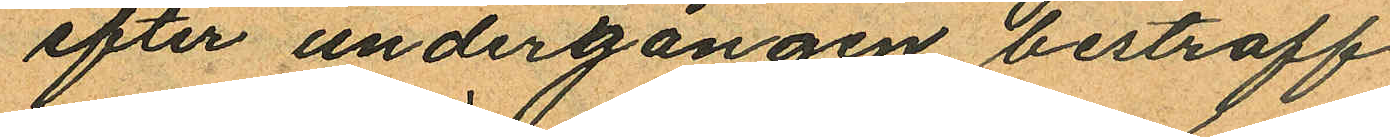efter undergången bestraff¬
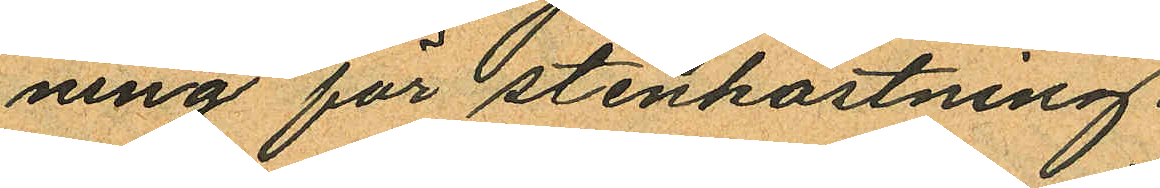ning för stenkastning.
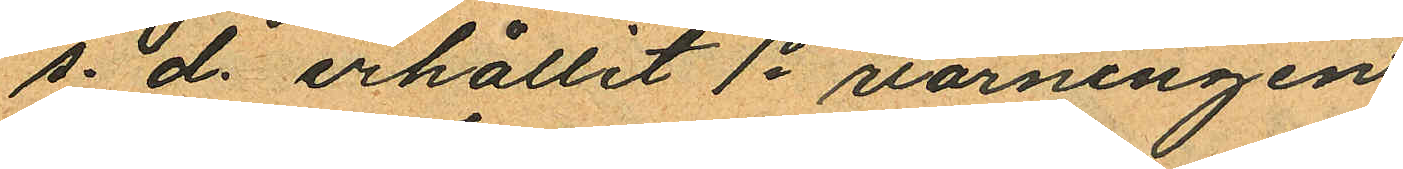s. d. erhållit 1o varningen
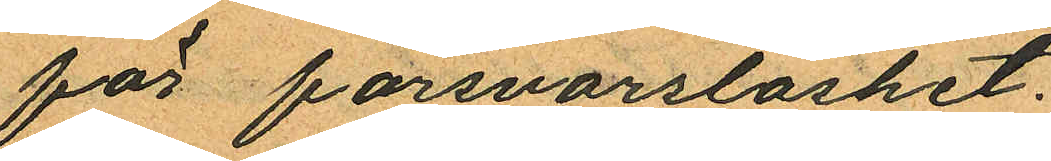för försvarslöshet.
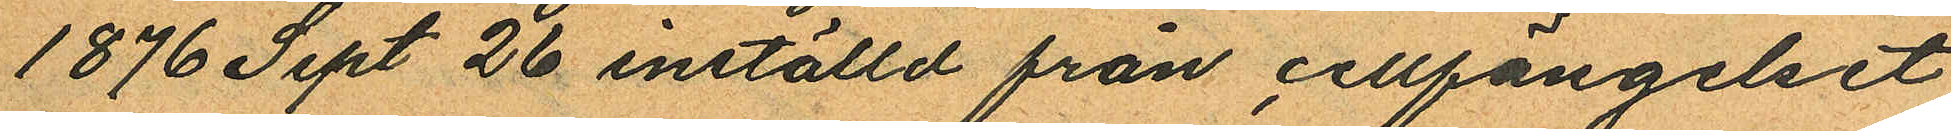1876 Sept 26 inställd från cellfängelset
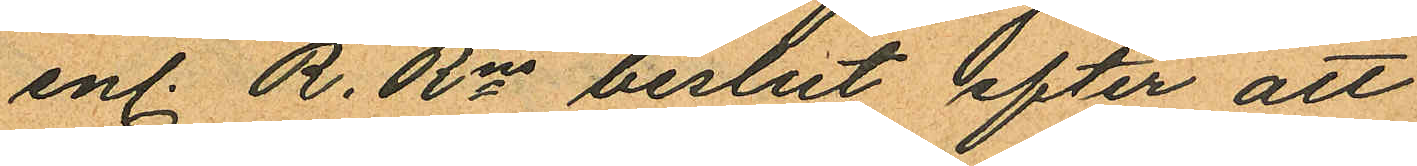enl. R. Rns beslut efter att
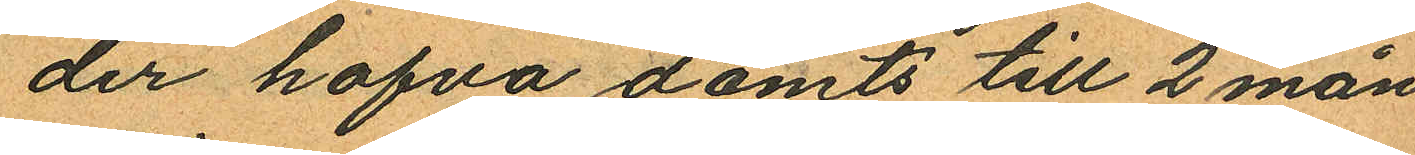der hafva dömts till 2 mån
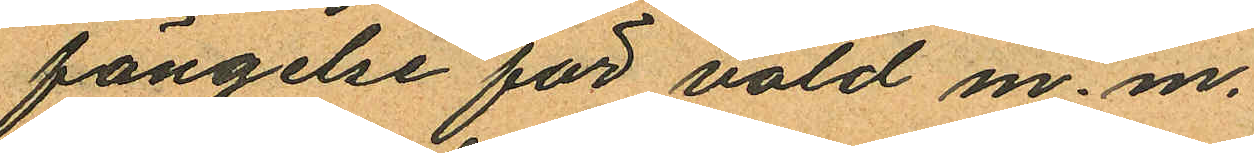fängelse för våld m. m.
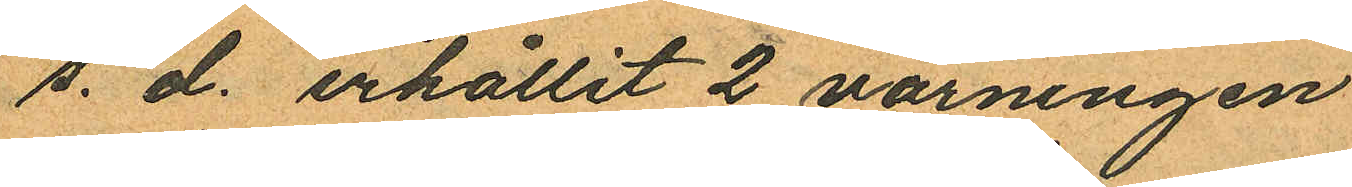s. d. erhållit 2 varningen
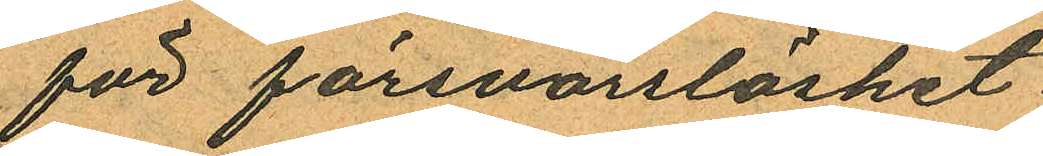för försvarslöshet.
